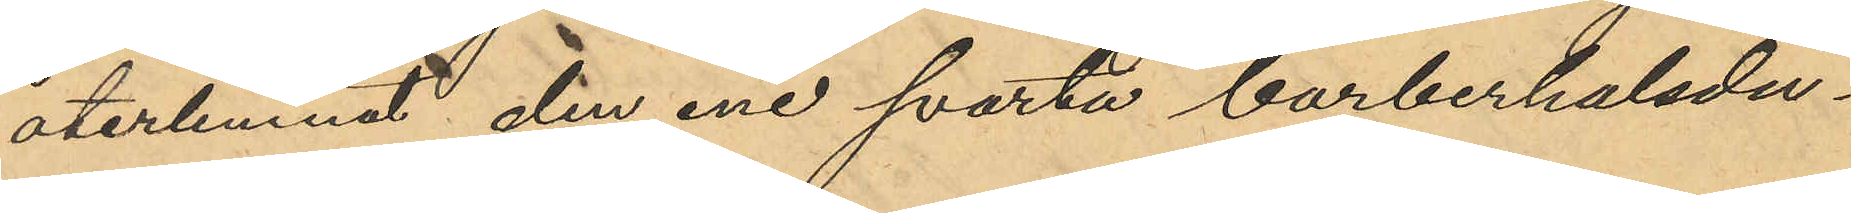återlemnat den ene svarta barberhalsdu¬
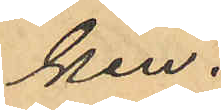ken.
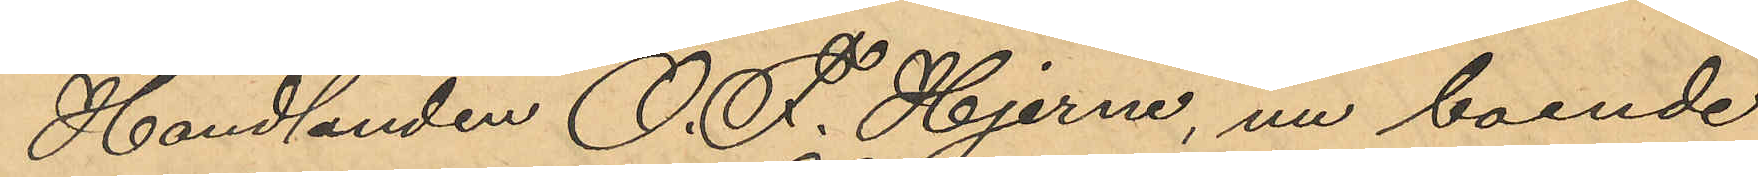Handlanden O. F. Hjerne, nu boende
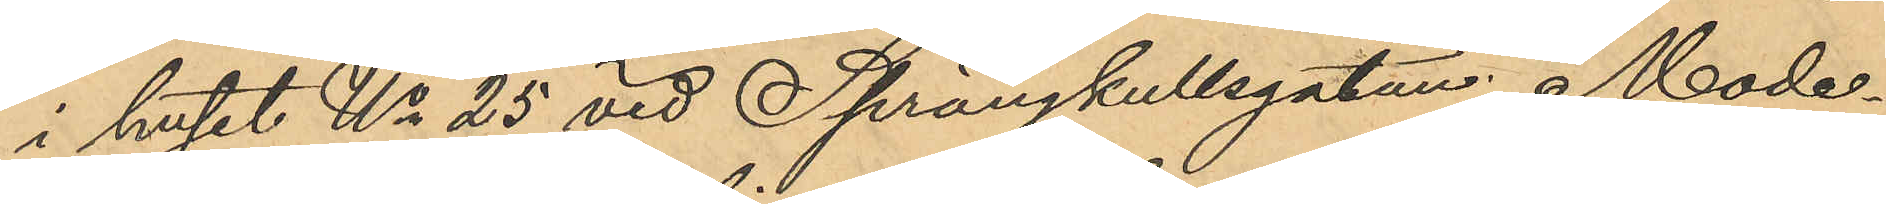i huset No 25 vid Sprängkullsgatan, Mode¬
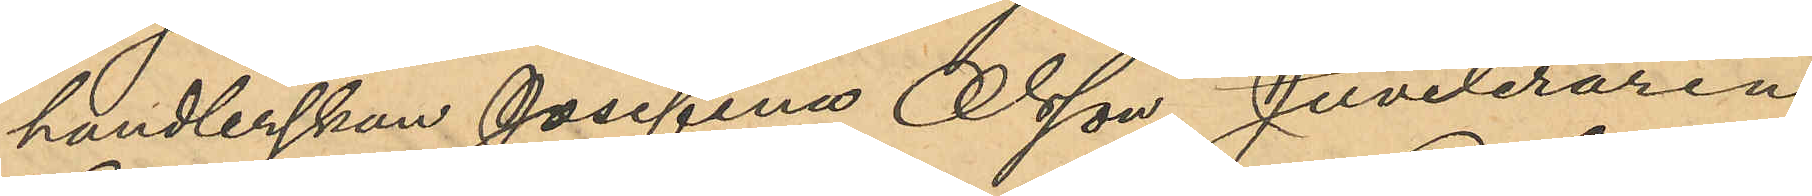handlerskan Josefina Olsson, Juveleraren
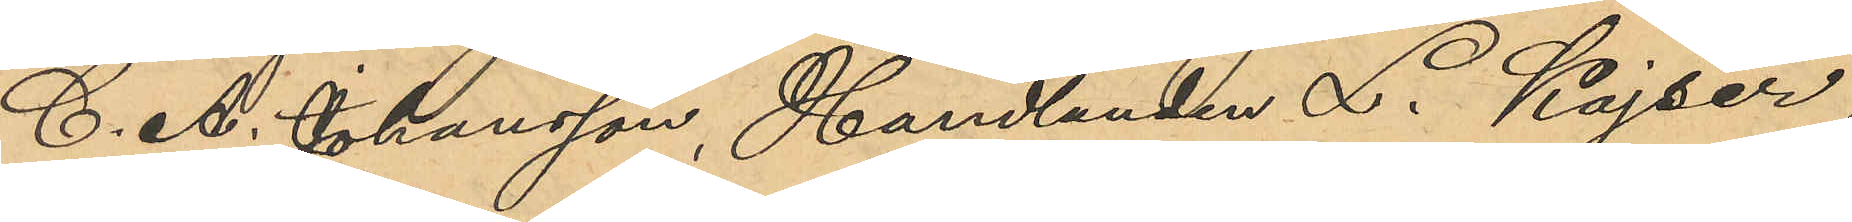C. A. Johansson, Handlanden L. Kajser,
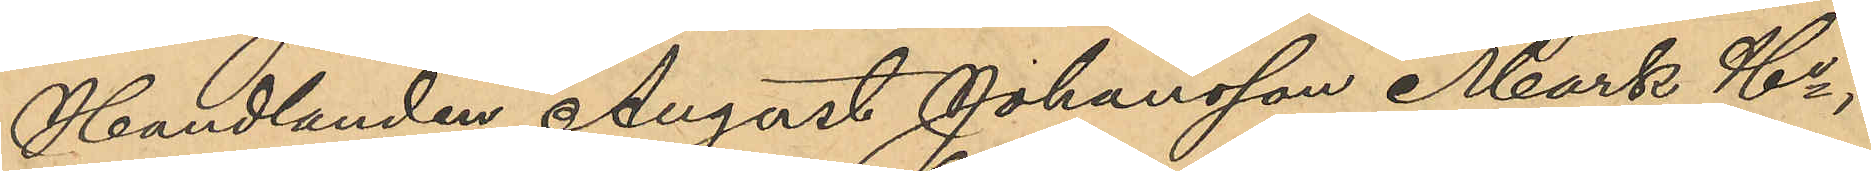Handlanden August Johansson Mark & Co,
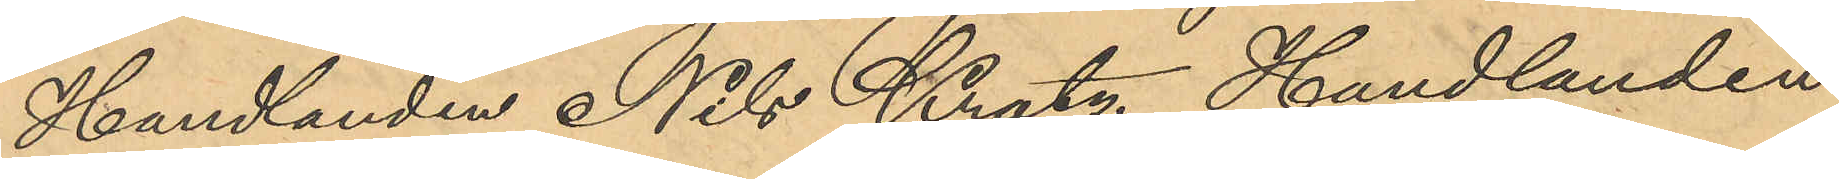Handlanden Nils Kratz, Handlanden
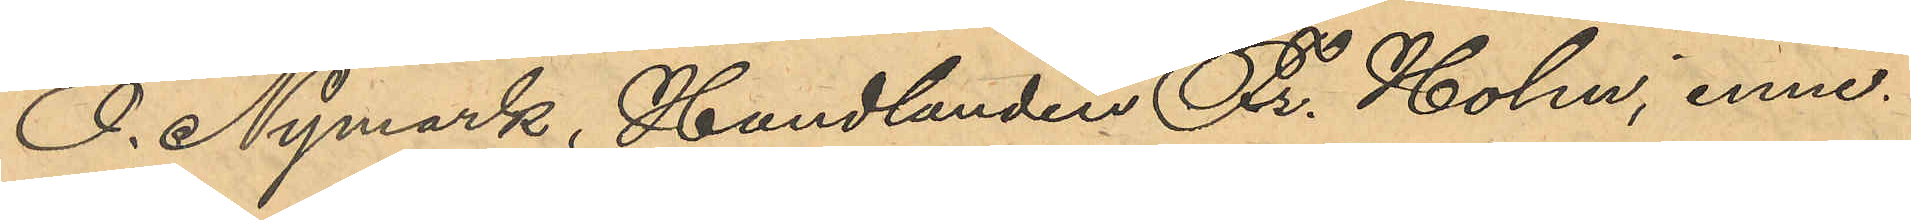O. Nymark, Handlanden Fr. Holm, inne¬
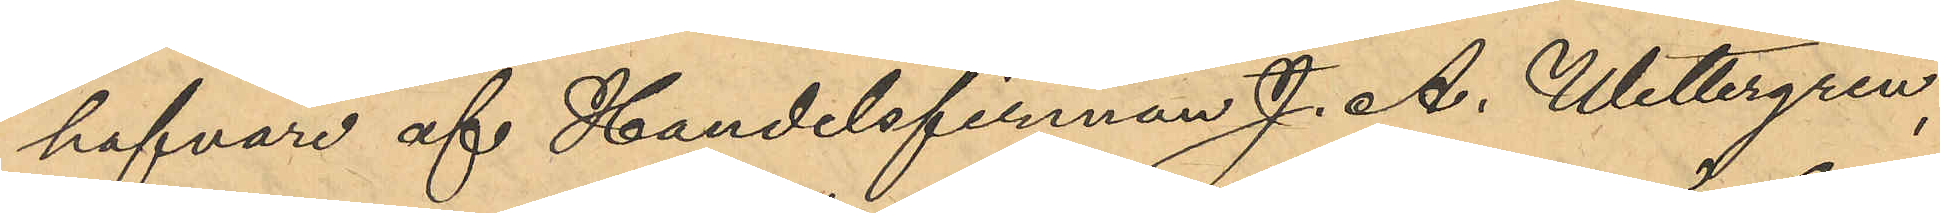hafvare af Handelsfirman J. A. Wettergren,
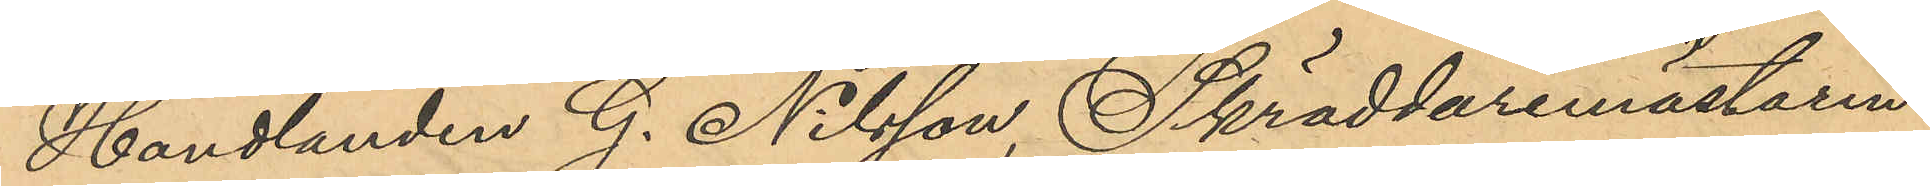Handlanden G. Nilsson, Skräddaremästaren
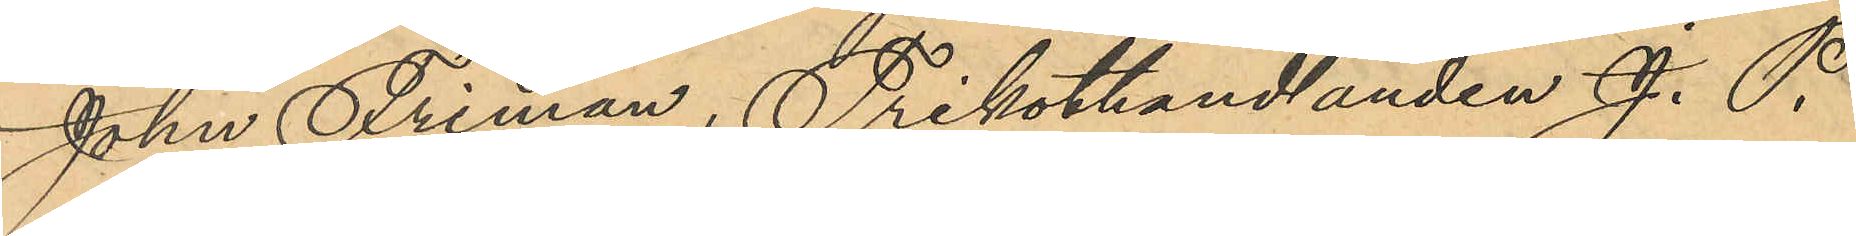John Friman, Trikothandlanden J. P.
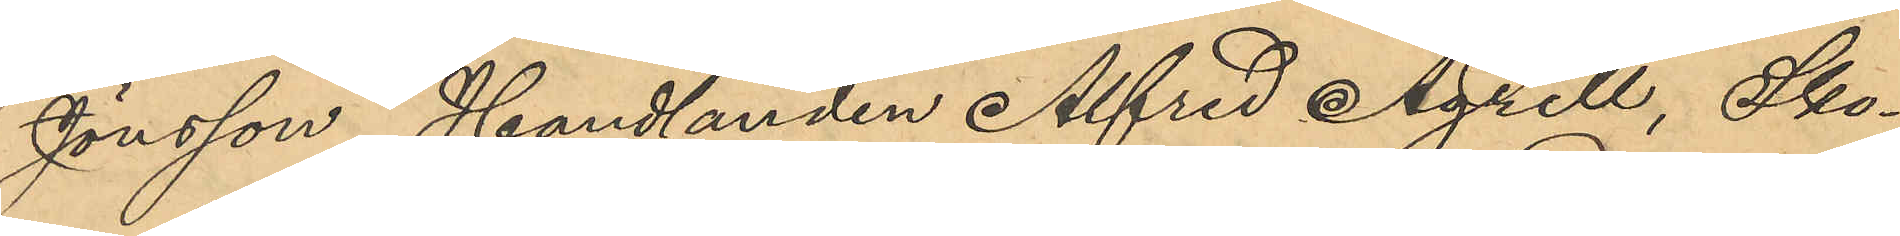Jönsson, Handlanden Alfred Agrell, Sko¬
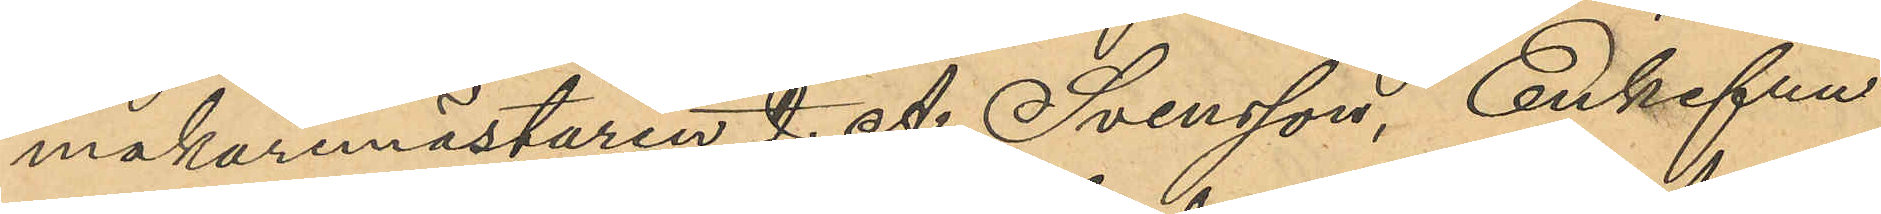makaremästaren J. A. Svensson, Enkefru
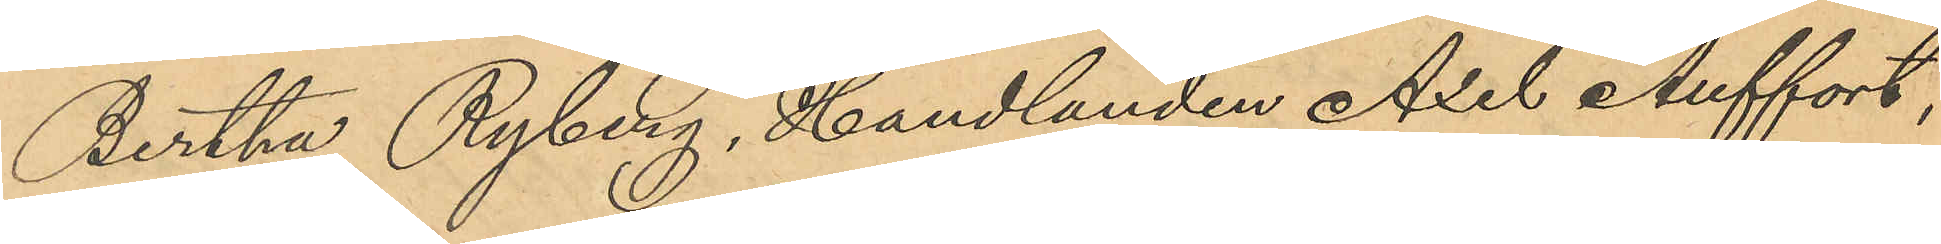Bertha Ryberg, Handlanden Axel Auffort,
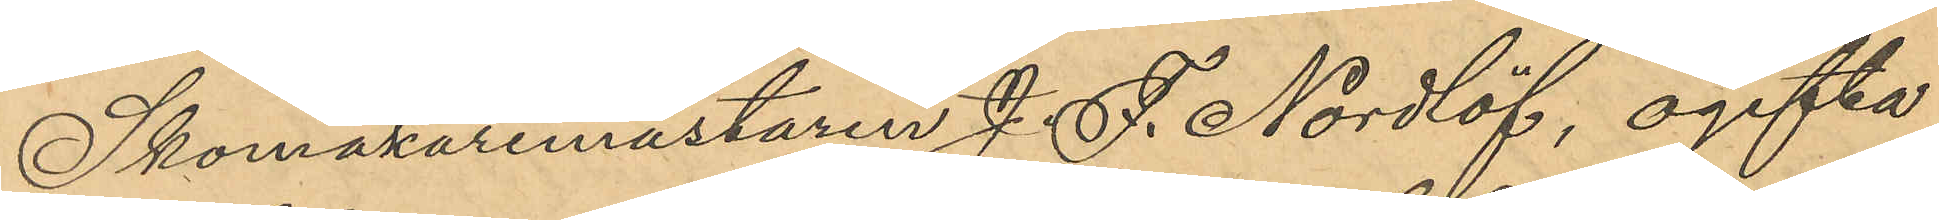Skomakaremästaren J. F. Nordlöf, ogifta
